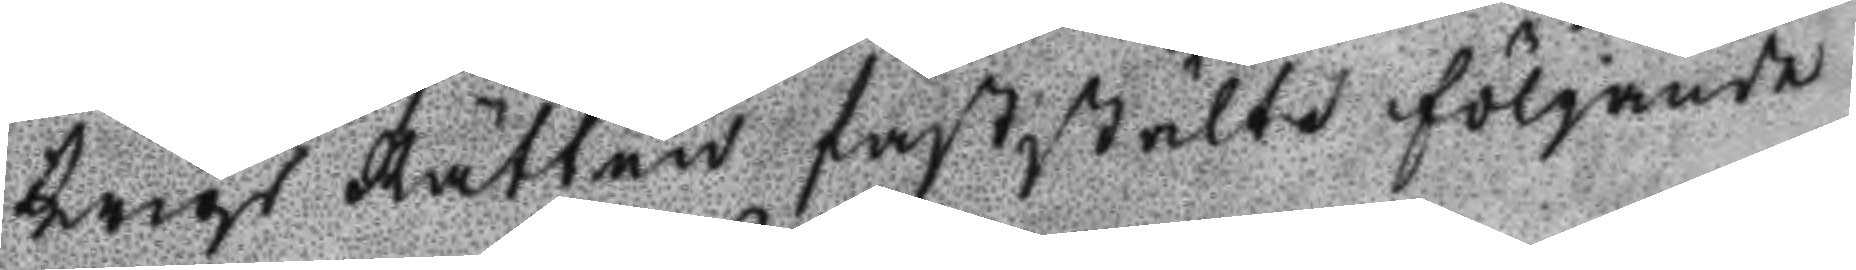Krigs Rätten faststälte följande
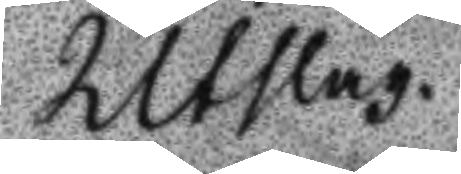Utslag.
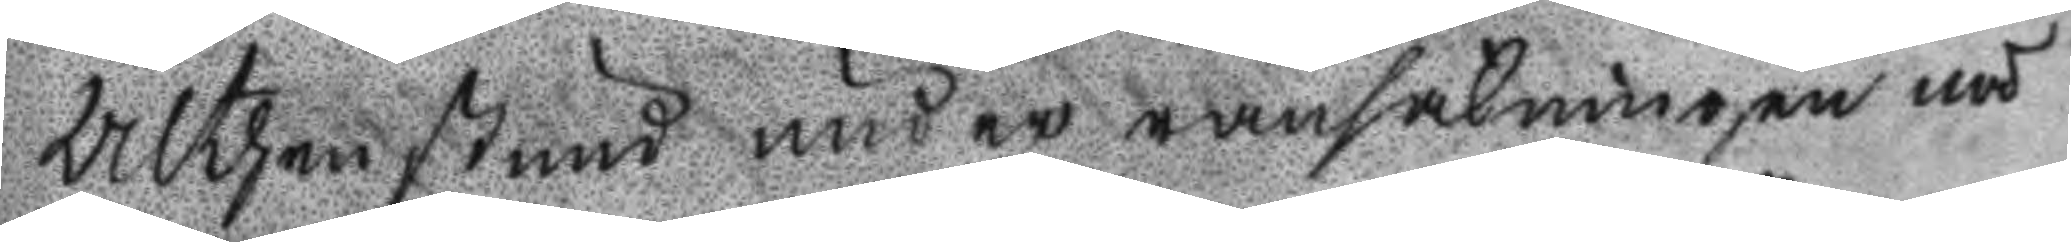Althen stund under ransakningen nå
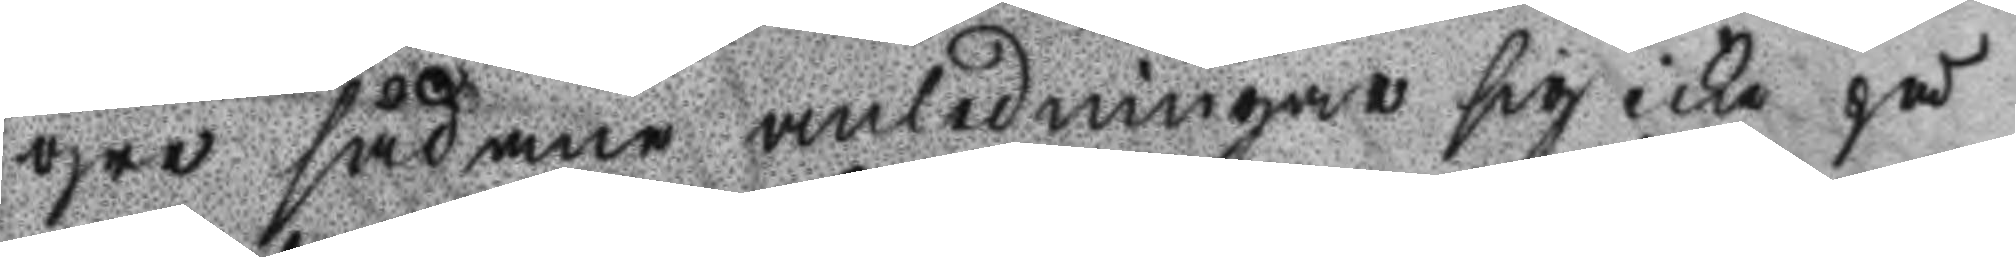gre sådane anledningar sig icke på
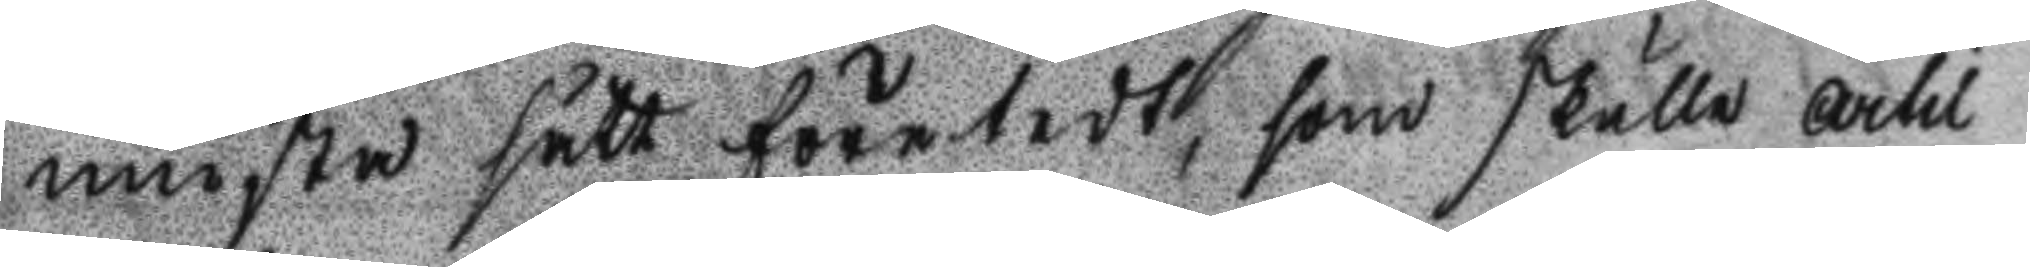minsta sätt företedt, som skulle Artil
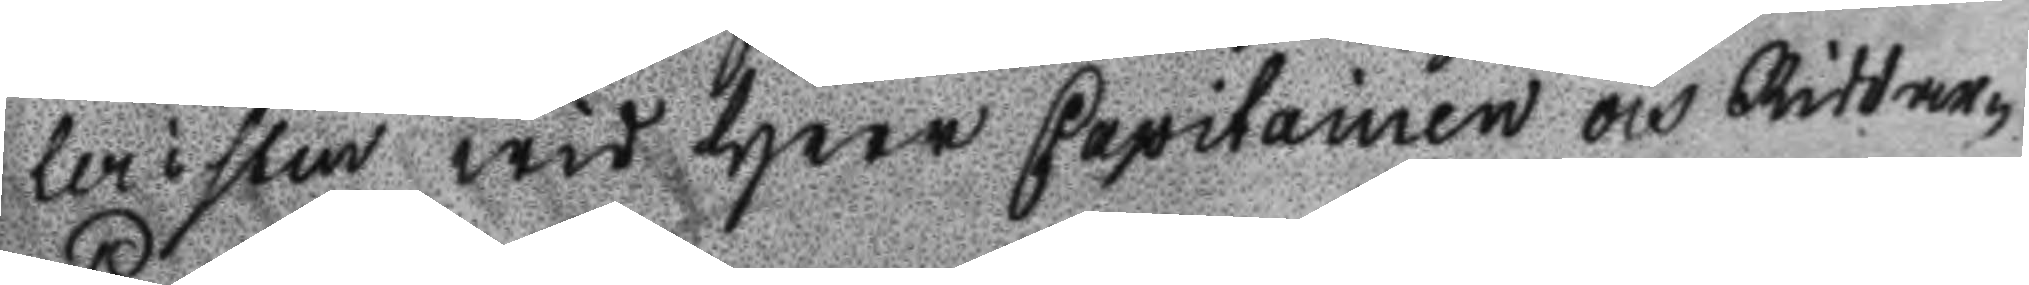leristen wid Herr Capitainen och Riddaren
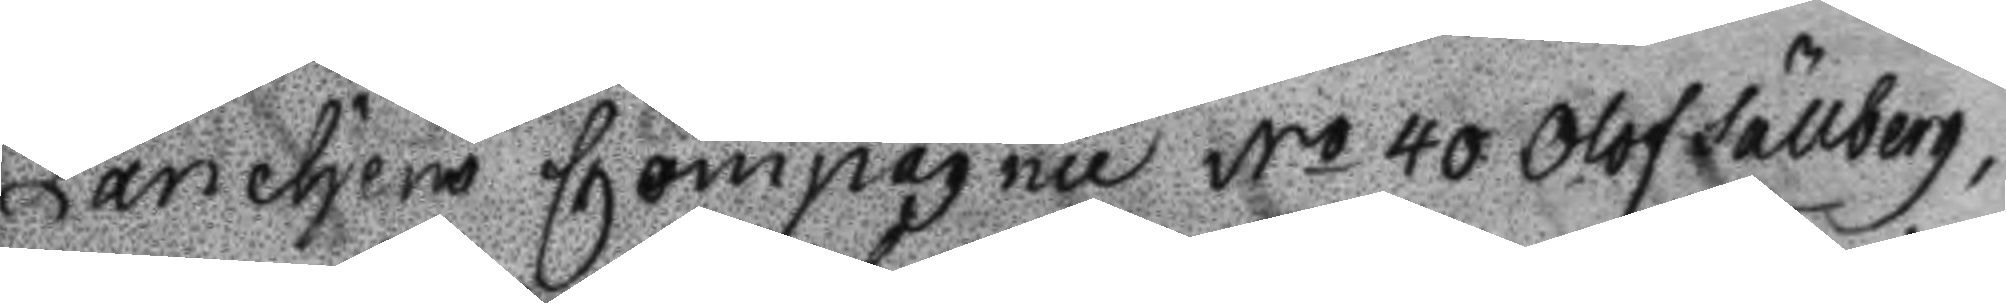Panchens Compagnie No 40 Olof Sällberg,
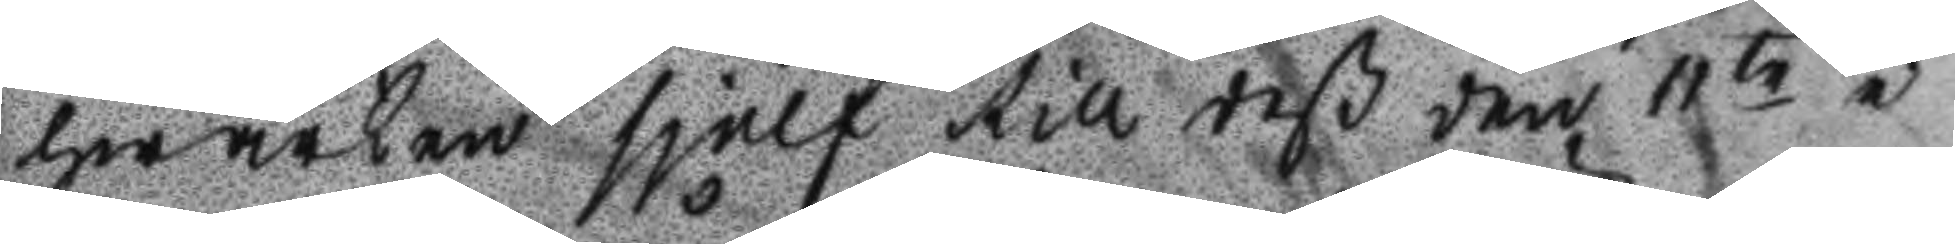hwarken sjelf till deß den 11te i
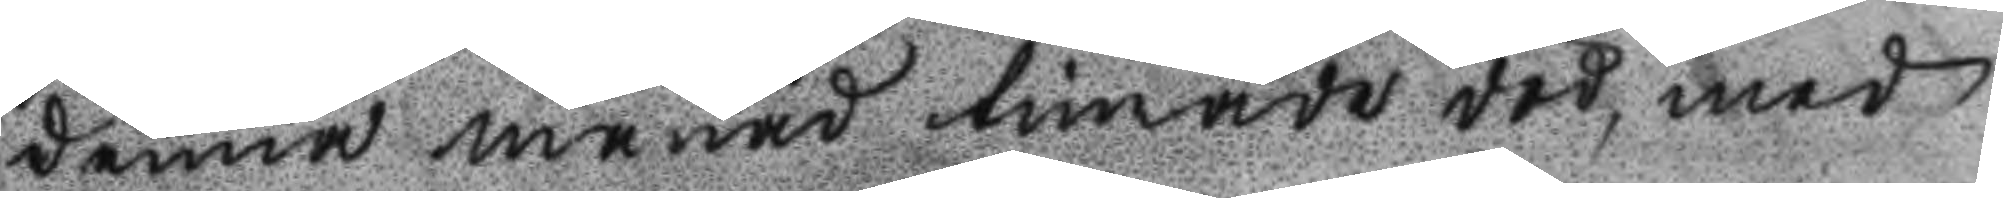denna månad timade död, med
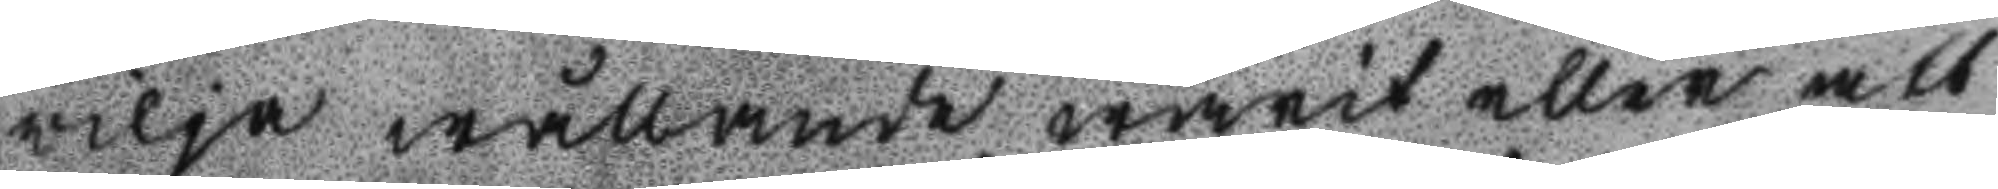vilja wällande warit eller att
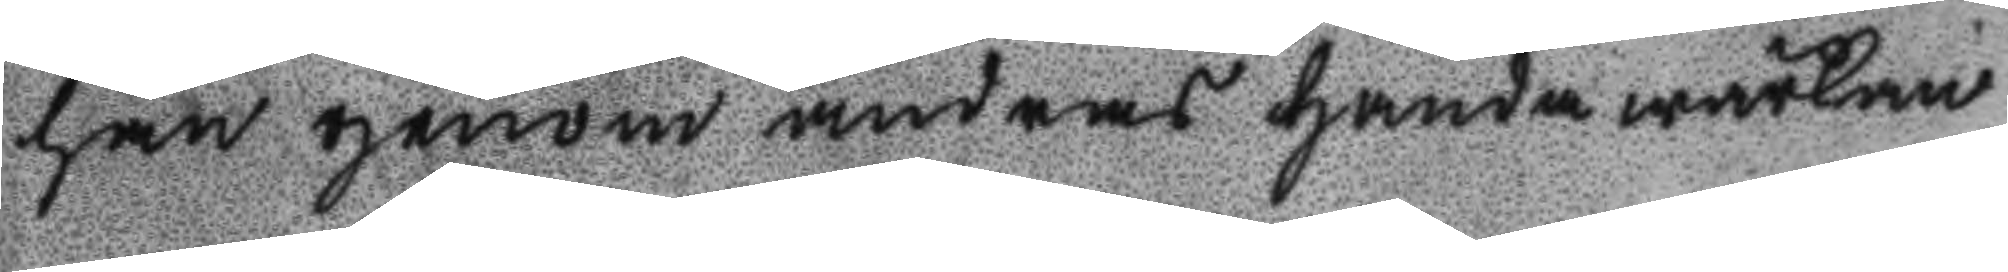han genom andras handa wärka
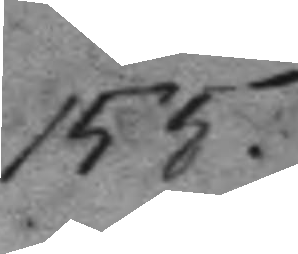155.
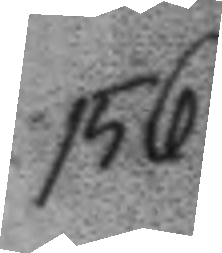156.
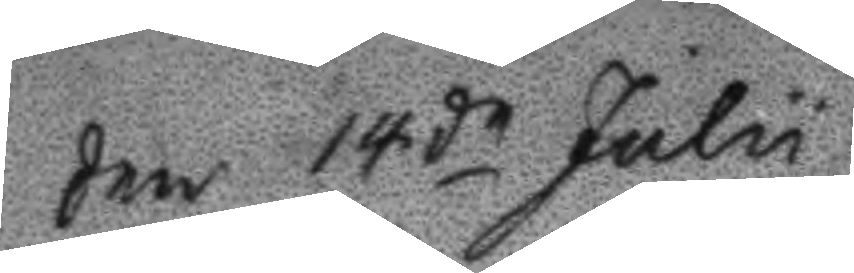Den 14de Julu
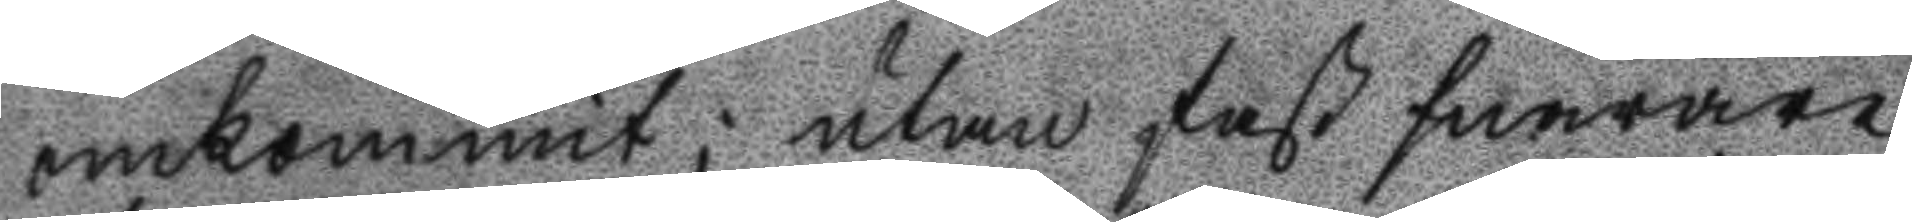omkommit; utan fast snarare
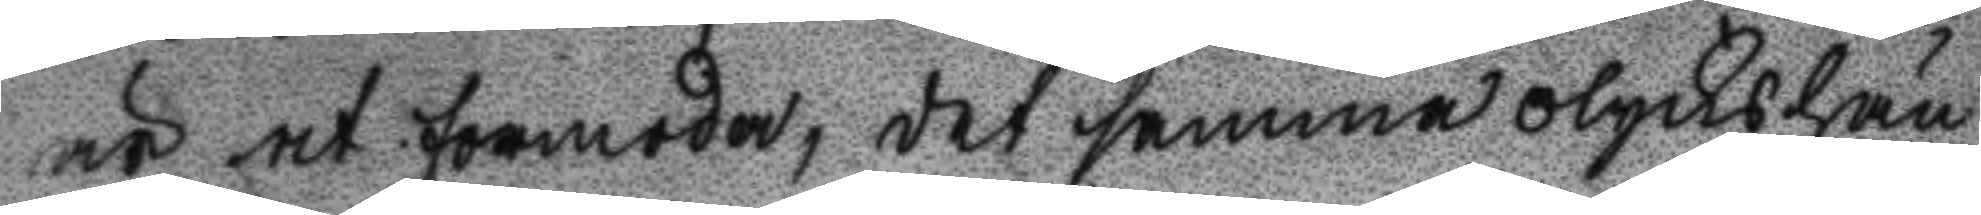är at formoda, det samma olyckshän
